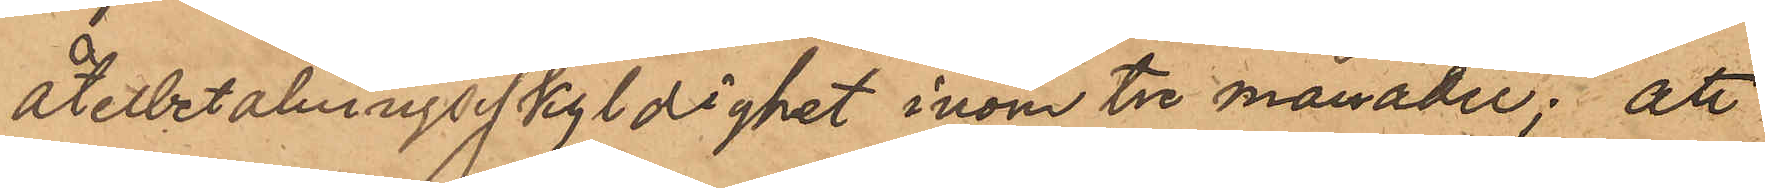återbetalningsskyldighet inom tre månader; att
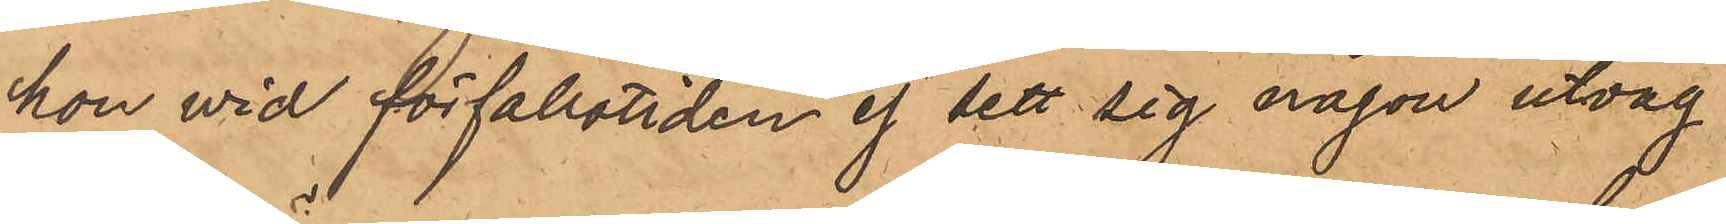hon vid förfallotiden ej sett sig någon utväg
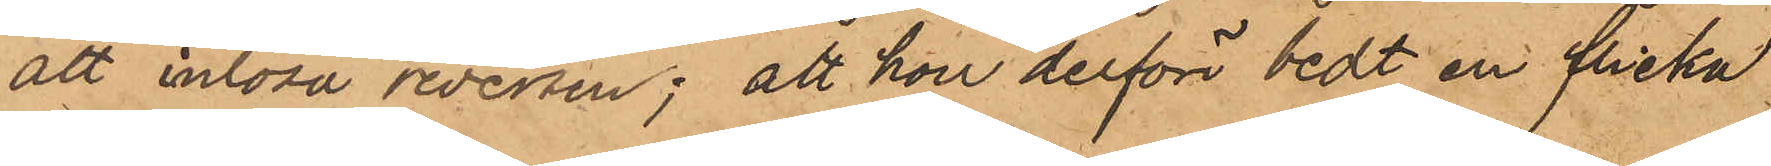att inlösa reversen; att hon derför bedt en flicka
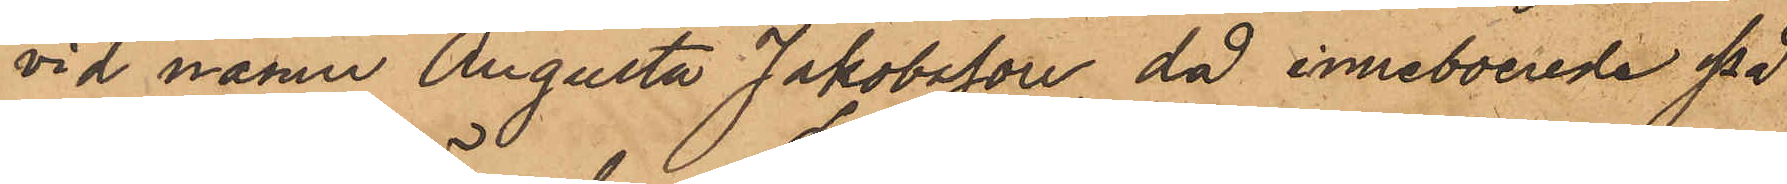vid namn Augusta Jakobsson, då inneboende på
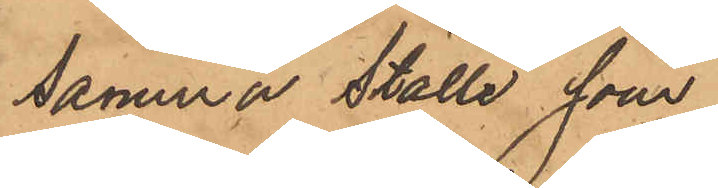samma ställe som
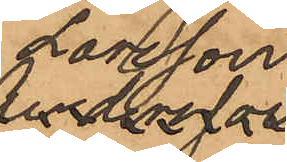Larsson,
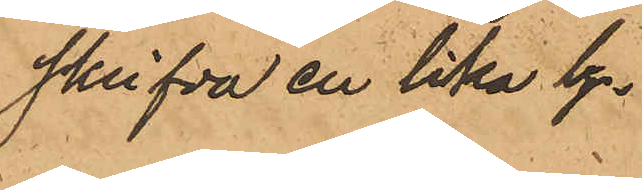skrifva en lika ly¬
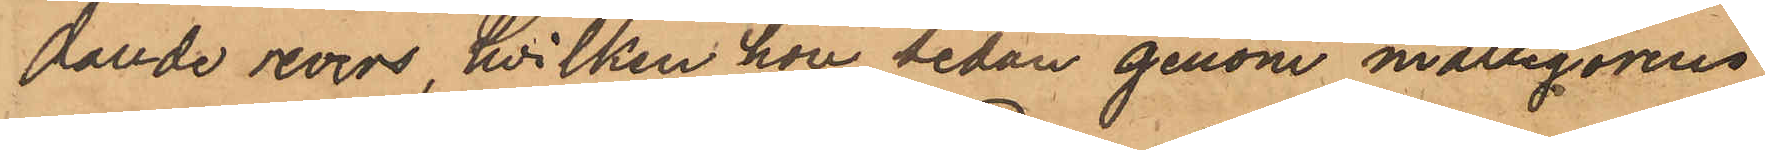dande revers, hvilken hon sedan genom målsegarens
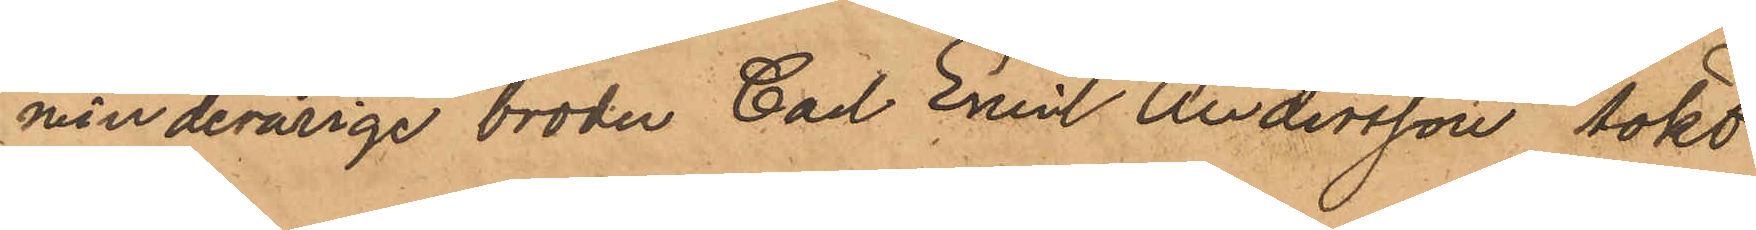minderårige broder Carl Emil Andersson sökt
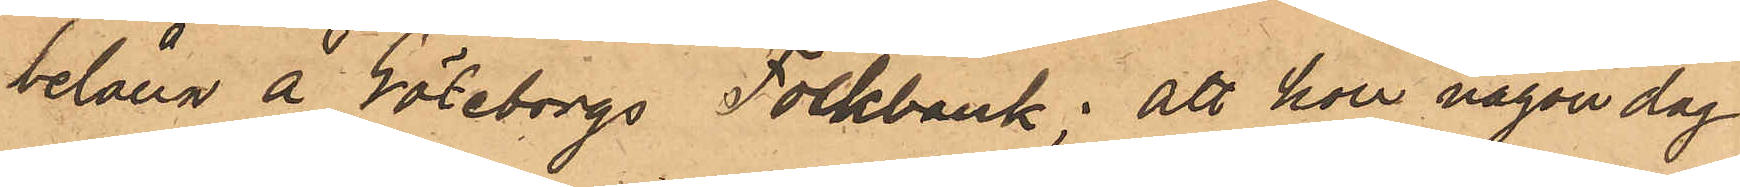belåna å Göteborgs Folkbank; att hon någon dag
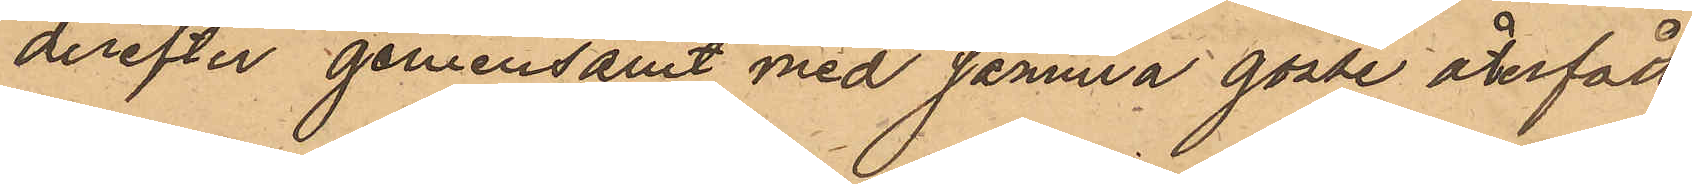derefter gemensamt med samma gosse återfått
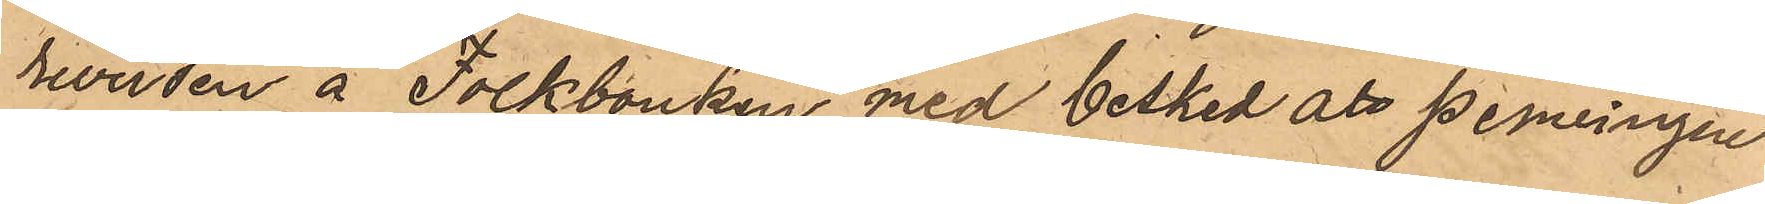reversen å Folkbanken med besked att penningen
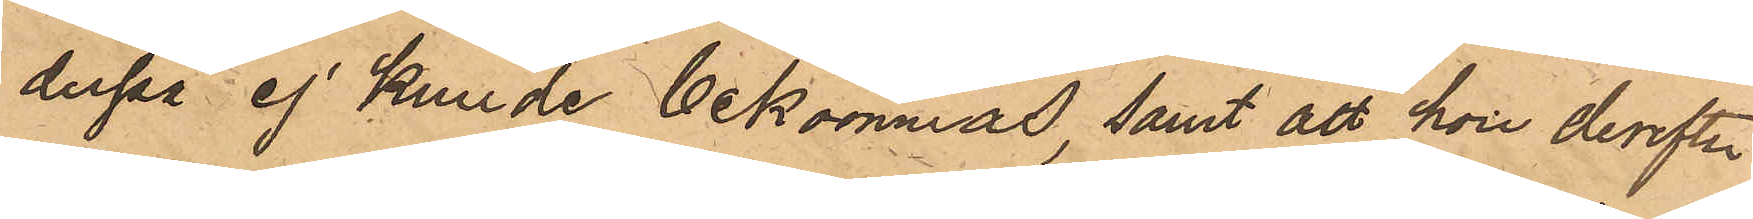derpå ej kunde bekommas, samt att hon derefter
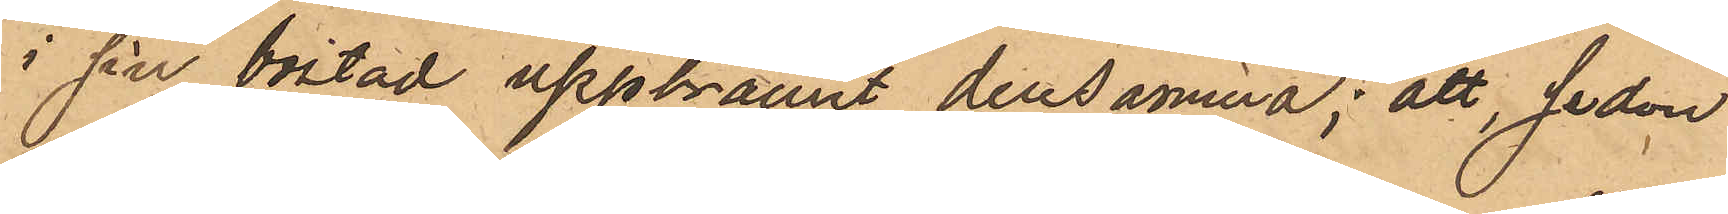i sin bostad uppbrännt densamma; att sedan
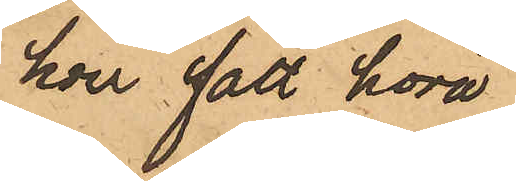hon fått höra
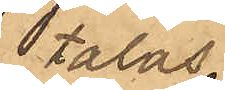talas
